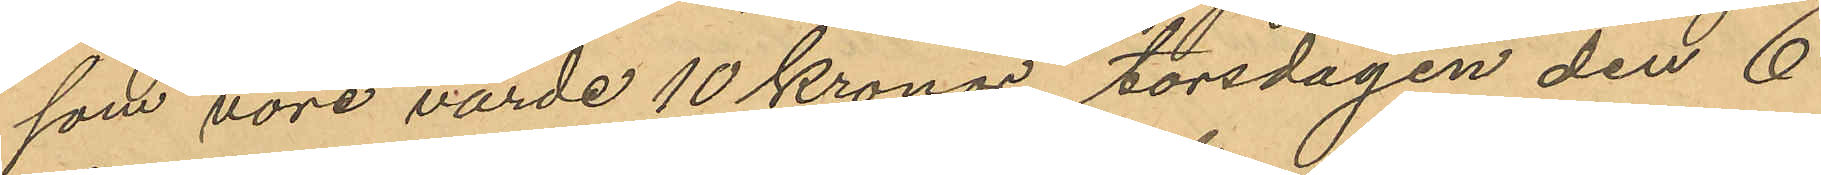som vore värde 10 kronor, torsdagen den 6
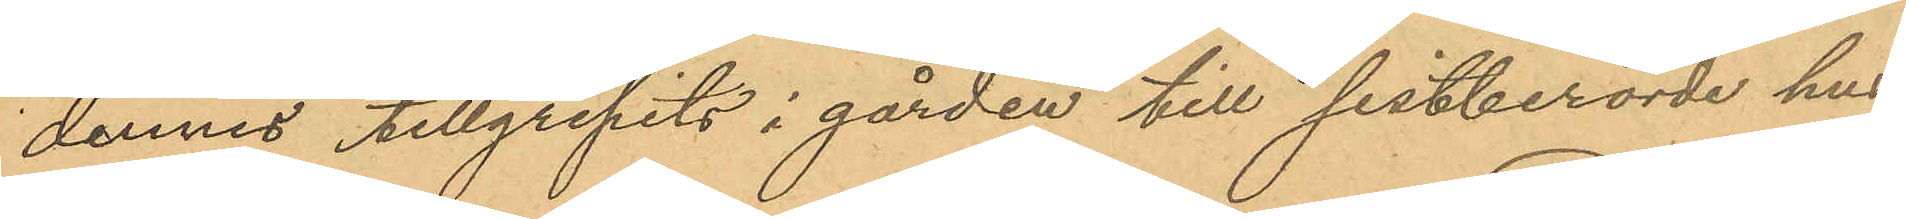dennes tillgripits i gården till sistberörde hus
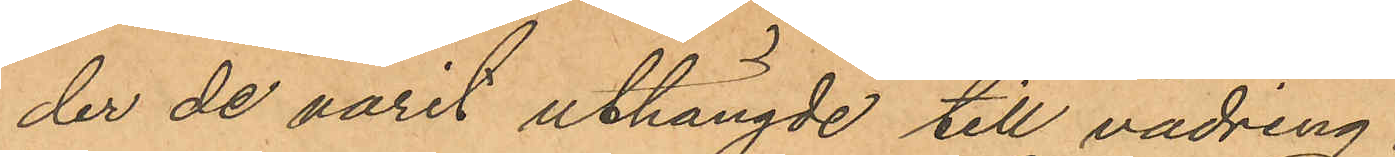der de varit uthängde till vädring.
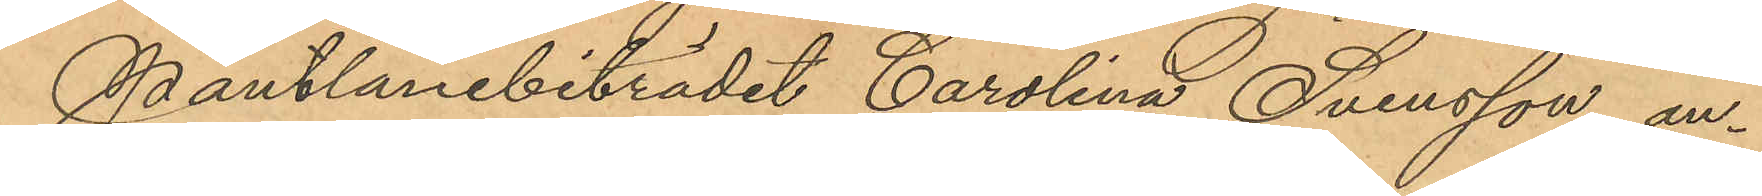Pantlånebiträdet Carolina Svensson, an¬
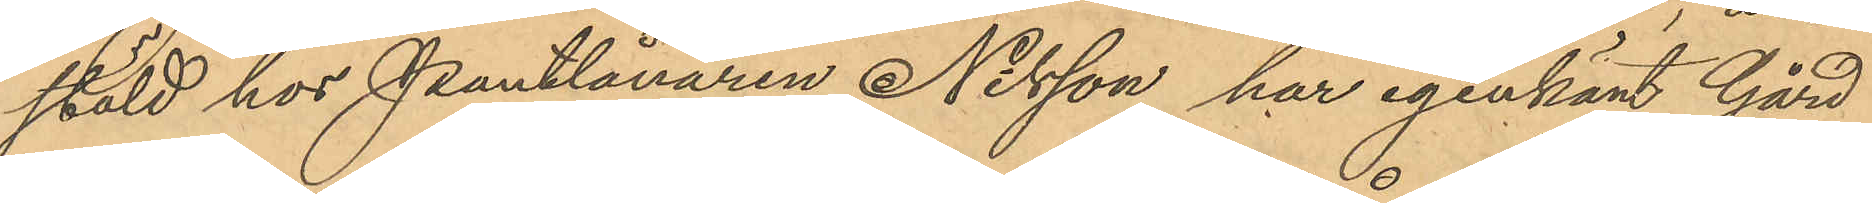stäld hos Pantlånaren Nilsson, har igenkänt Gård
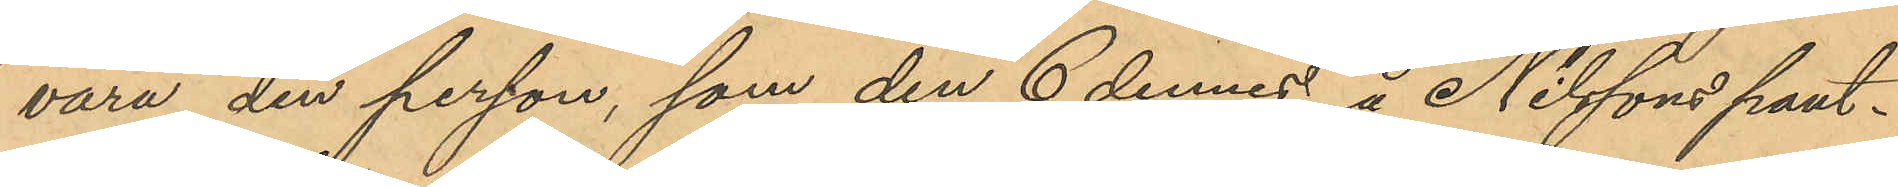vara den person, som den 6 dennes å Nilssons pant¬
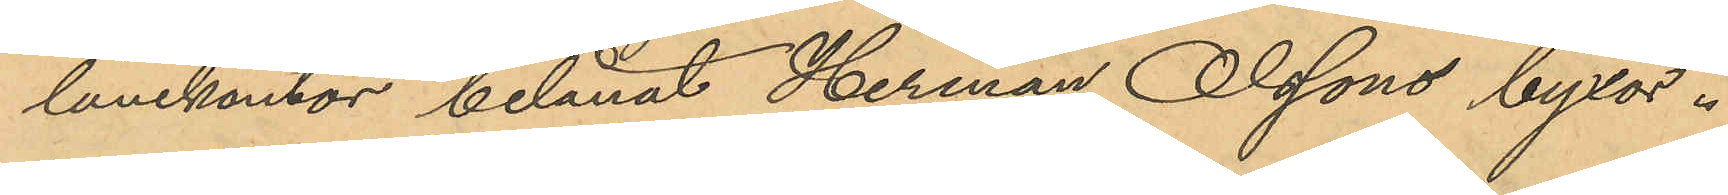lånekontor belånat Herman Olssons byxor.
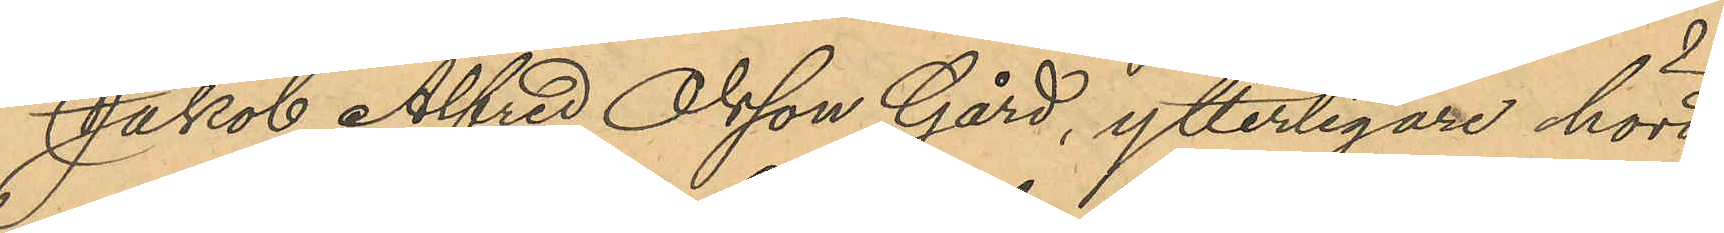Jakob Alfred Olsson Gård, ytterligare hörd
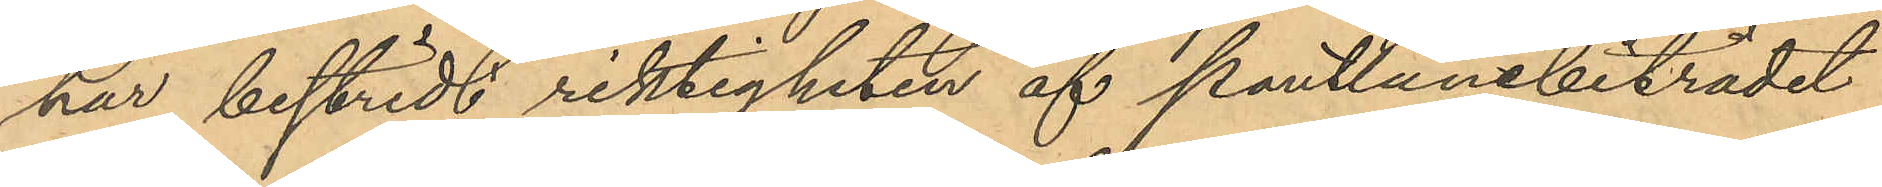har bestridit riktigheten af pantlånebiträdet
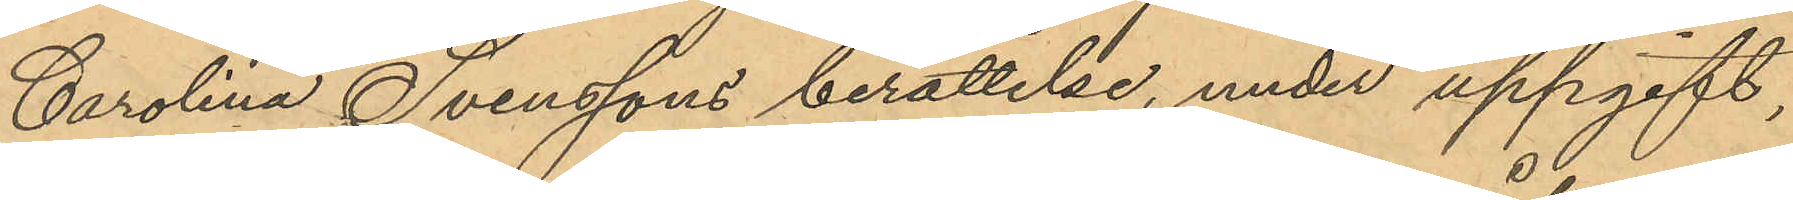Carolina Svenssons berättelse, under uppgift,
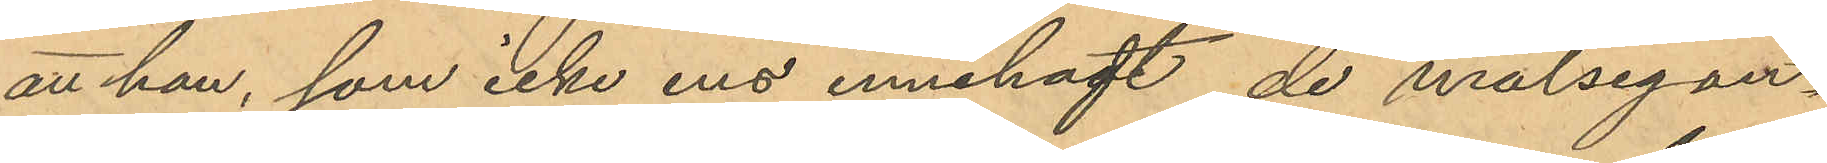att han, som icke ens innehaft de målsegan¬
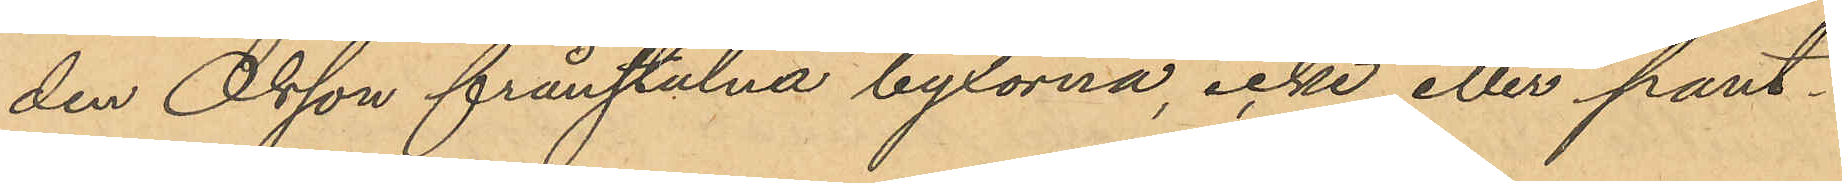den Olsson frånstulna byxorna, icke eller pant¬
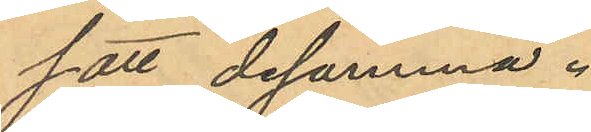satt desamma.
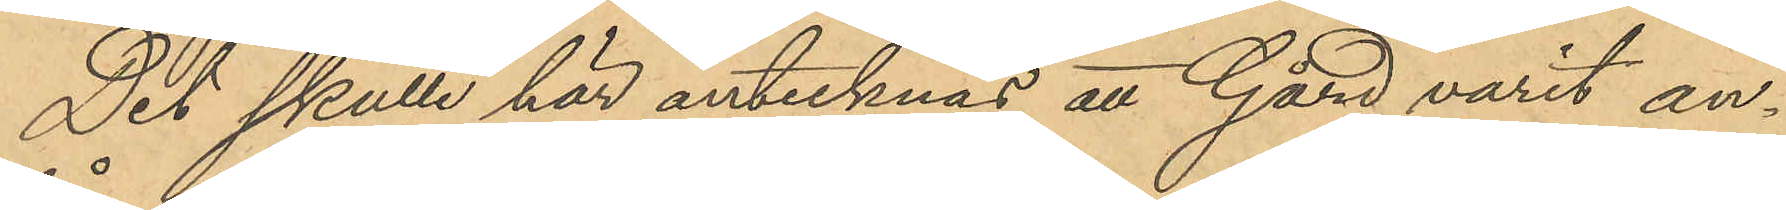Det skulle här antecknas att Gård varit an¬
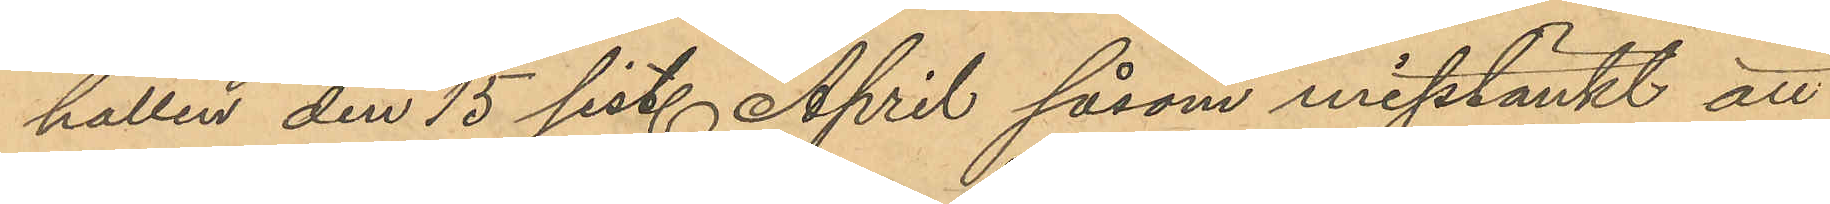hållen den 15 sist. April såsom misstänkt att
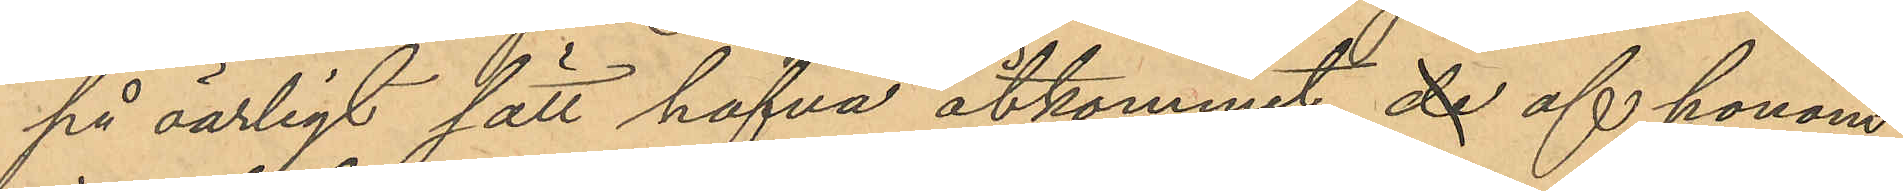på oärligt sätt hafva åtkommit de af honom
